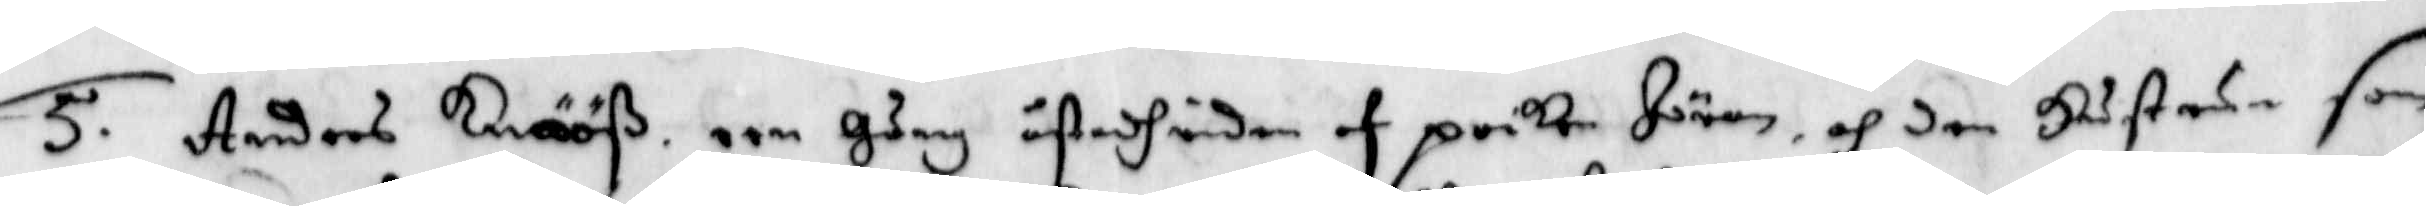5. Anders Knööß, een Gång åstadhriden af poiken Jöran, och den Hustrun som
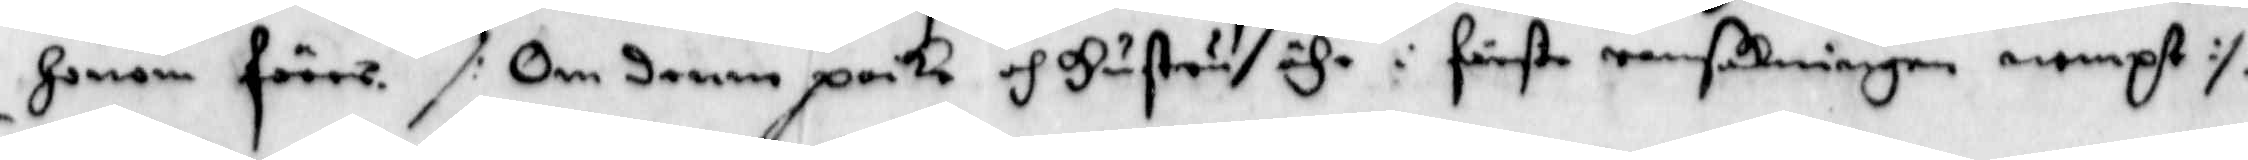Honom förer. /: Om denne poike och Hustrun ähr i första rannsakningen nampst :/
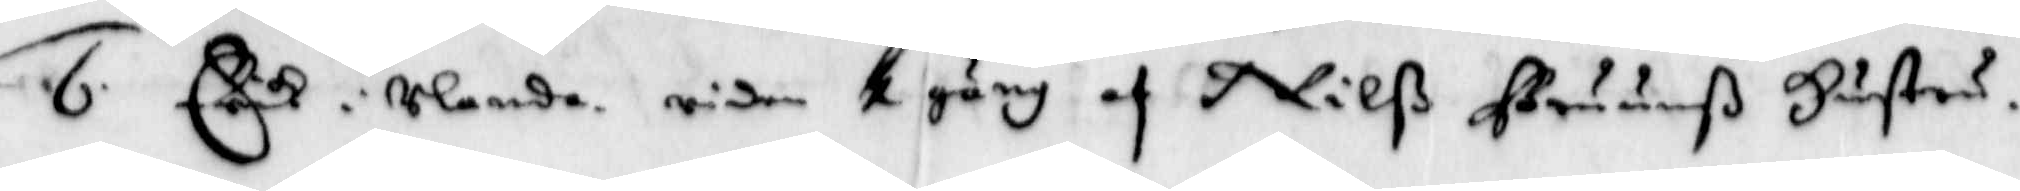6. Erich i Ulanda, riden 1 gång af Nilß Bruunß Hustru.
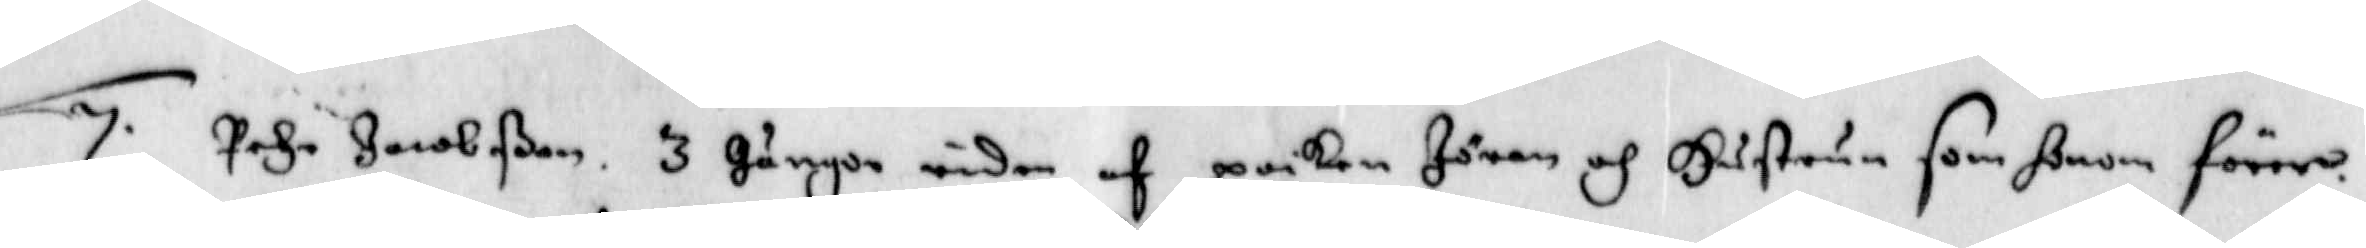7. Pehr Jacobßon, 3 Gånger riden af poiken Jöran och Hustrun som honom förer
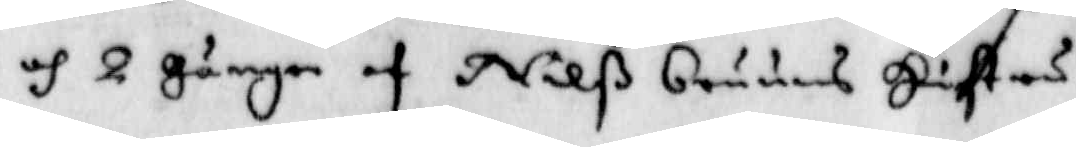och 2 Gånger af Nilß Bruuns Hustru.
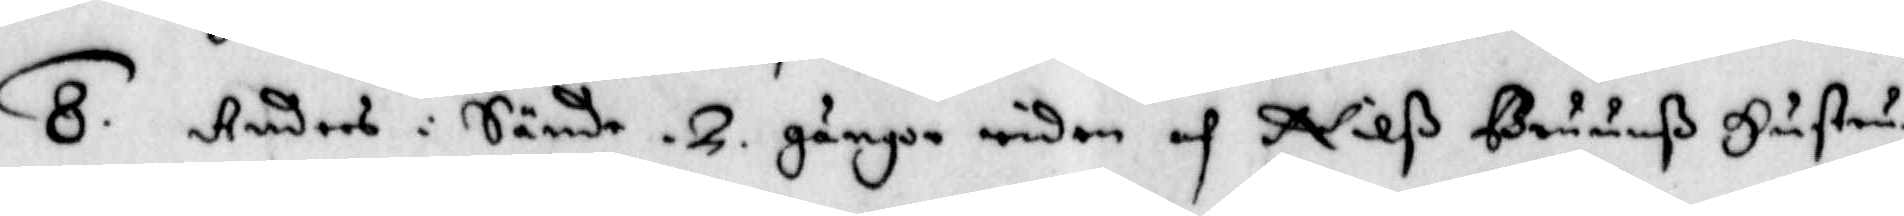8. Anders i Sände, 2 gånger riden af Nilß Bruunß Hustru.
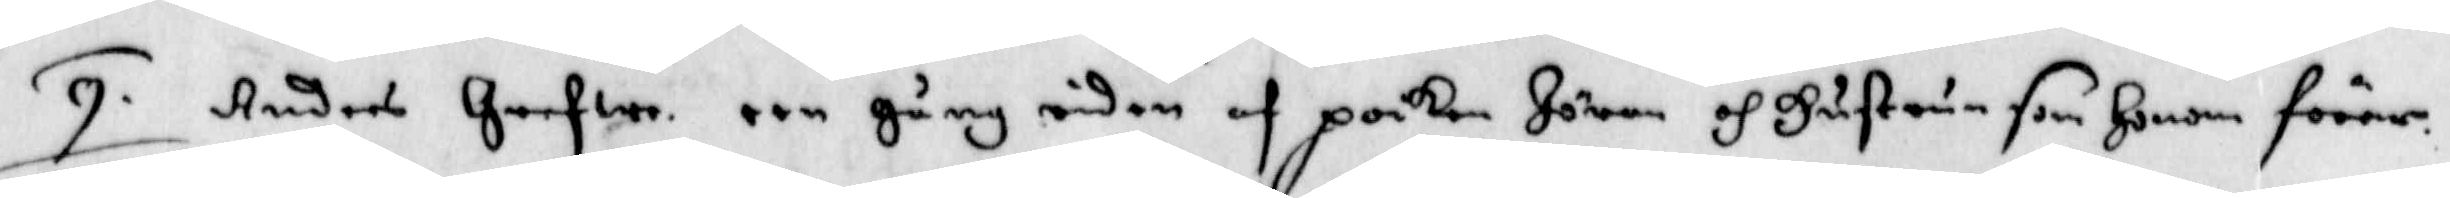9. Anders Grefwe, een gång riden af poiken Jöran och Hustrun som Honom förer.
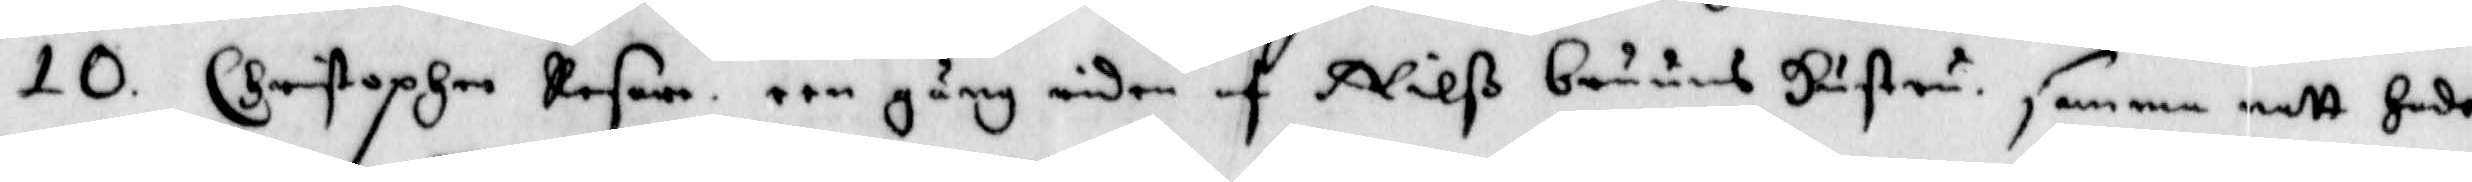10. Christopher resare, een gång riden af Nilß bruuns Hustru. samma natt
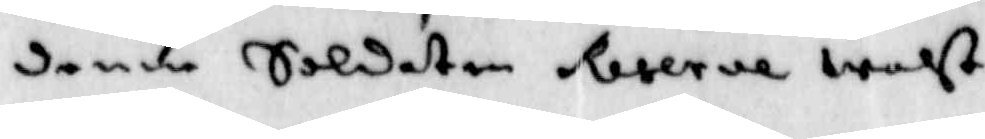denne Soldaten Reserve waht.
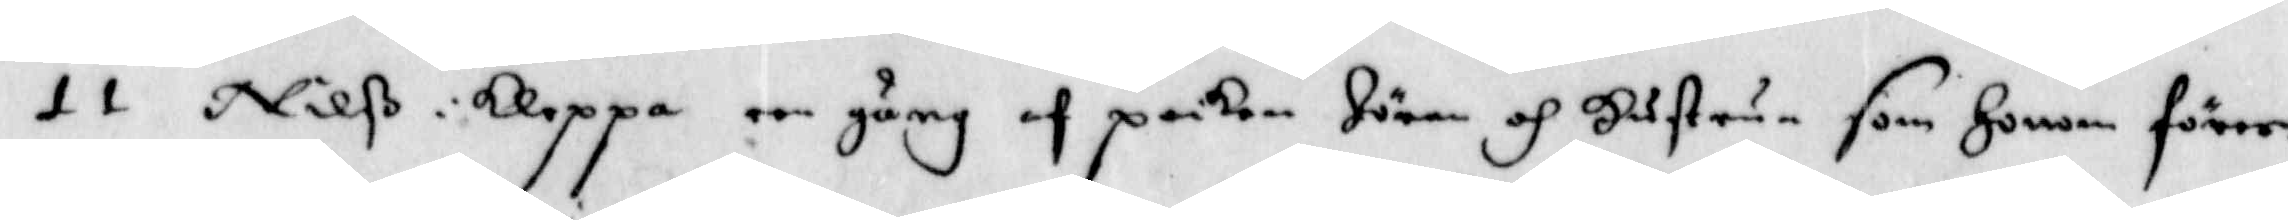11 Nilß i Kleppa een gång af poiken Jöran och Hustrun som Honom förer.
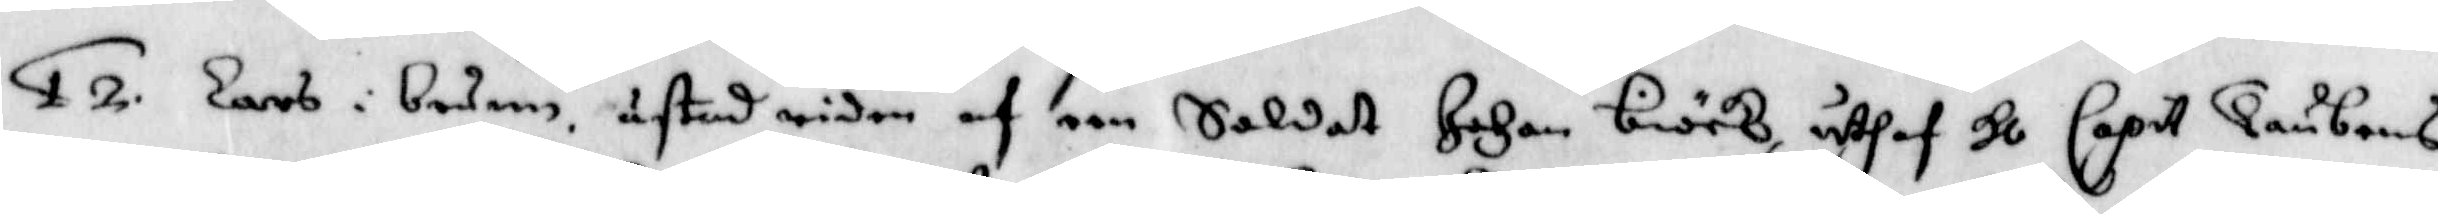12. Larß i boden åstad riden af een Soldat Johan biörk, uthaf Hl Capit. Taubens
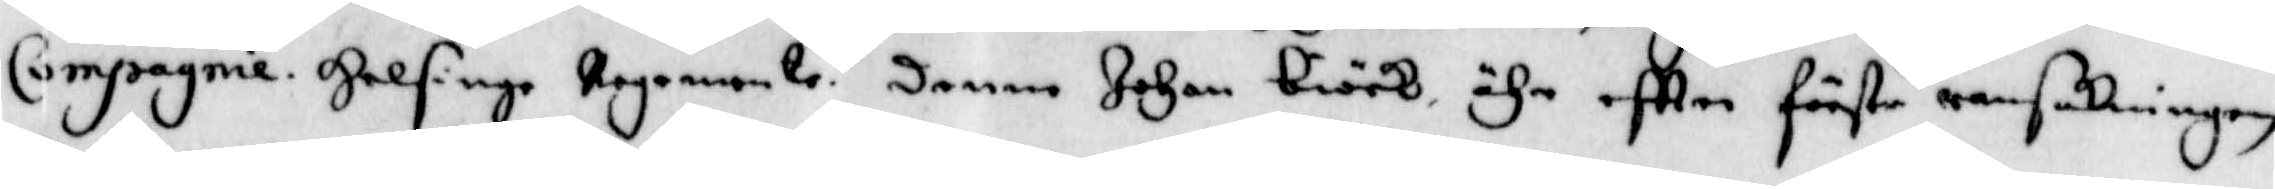Compagnie, Helsinge regemente, denne Johan Biörk ähr eftter förste ransakningen
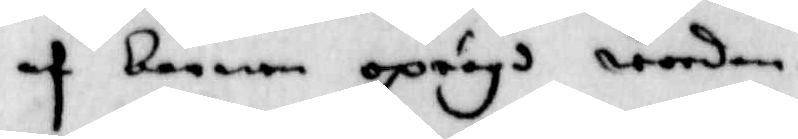af barnen oprögd worden.
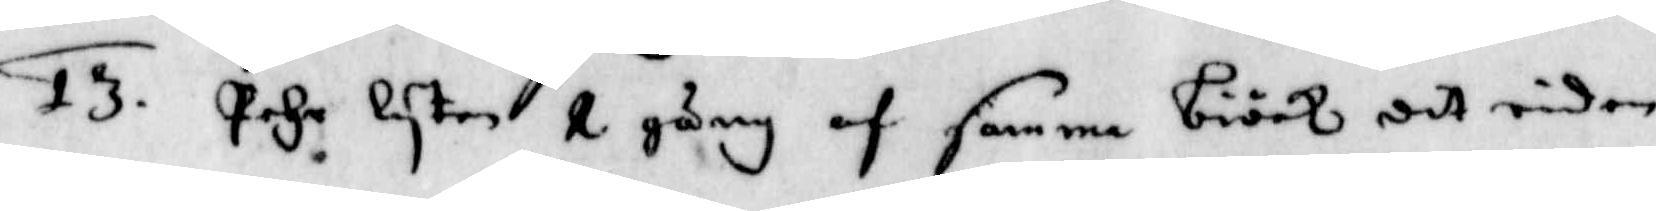13. Pehr Lyten 1 gång af samma biörk dit riden.
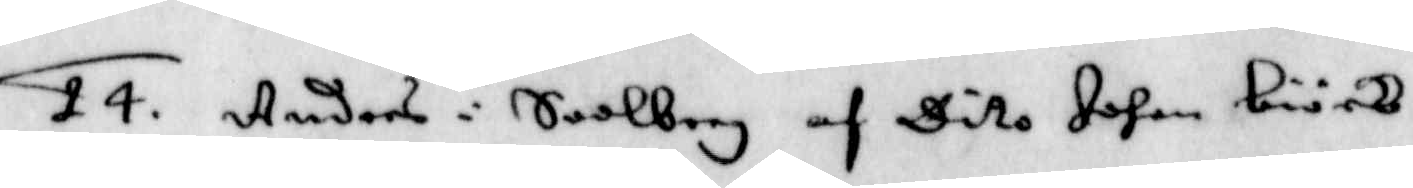14. Anders i Saalborg ad Dito Johan biörk.
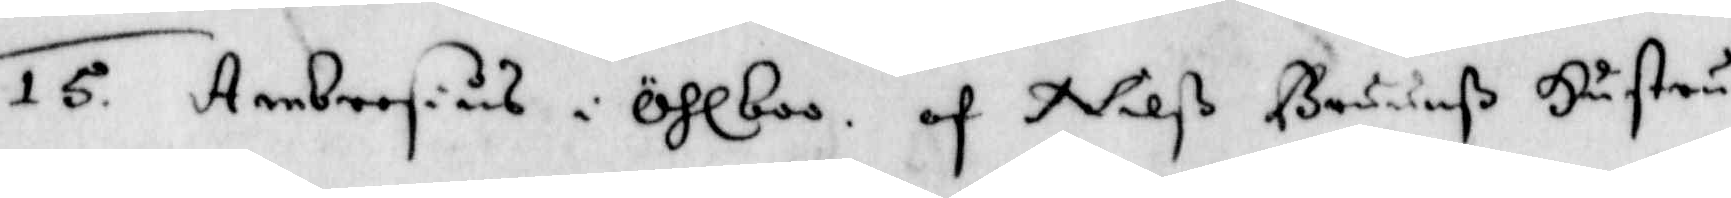15. Ambrosius i Öhlboo, af Nilß Bruunß Hustru.
